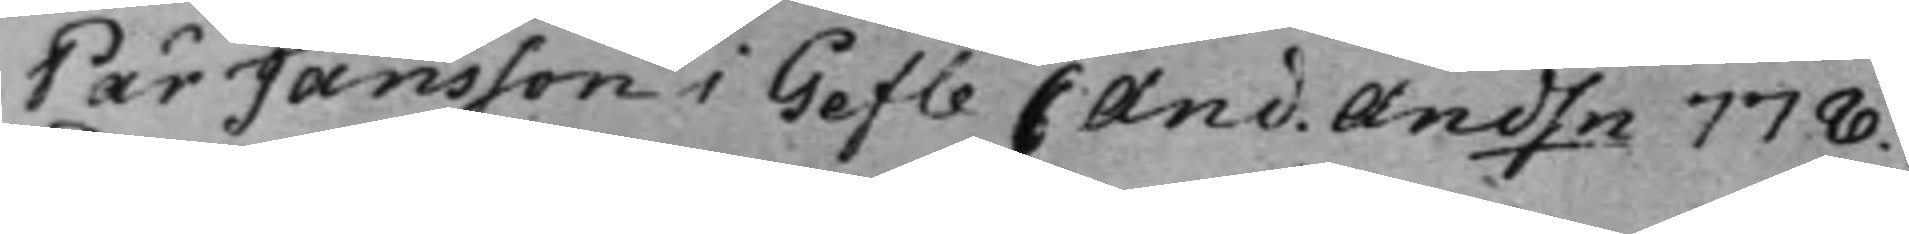Pär Jansson i Gefle C And. Andsn 778.
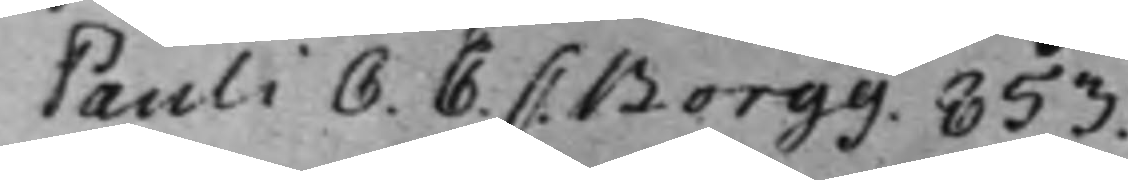Pauli C. C. C. Borgg. 853.
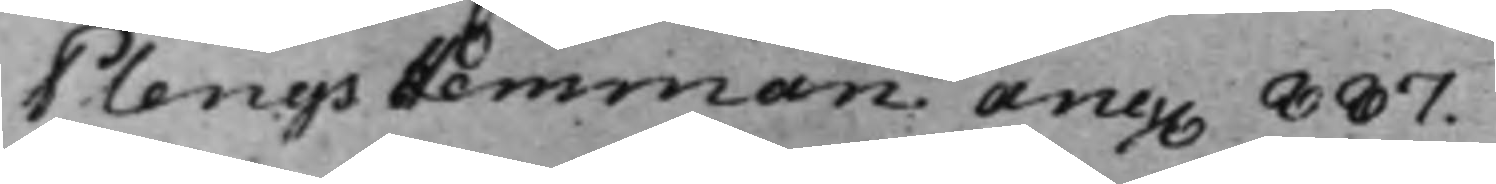Plengs Hemman ang. 887.
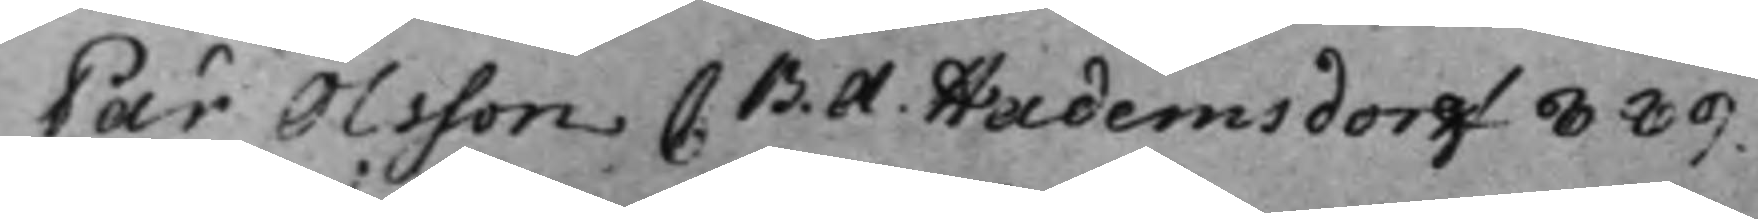Pär Olsson C. B. A. Hademsdorff 889.
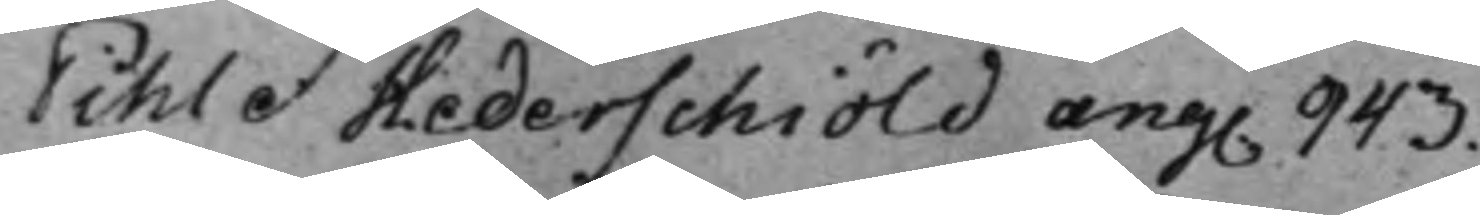Pihl et Hederschiöld ang. 943.
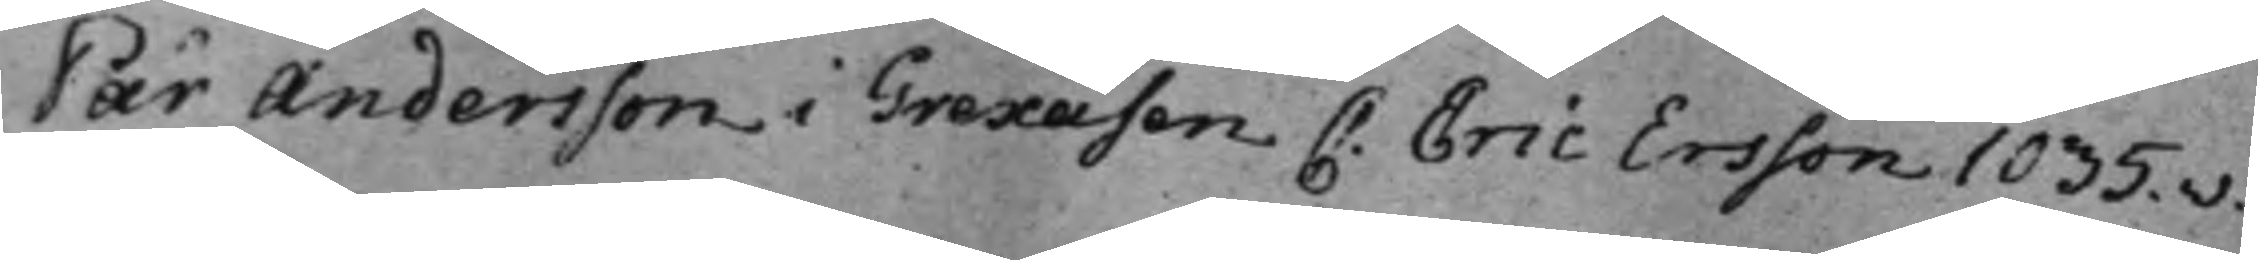Pär Andersson i Grexåsen C: Eric Ersson 1035.v.
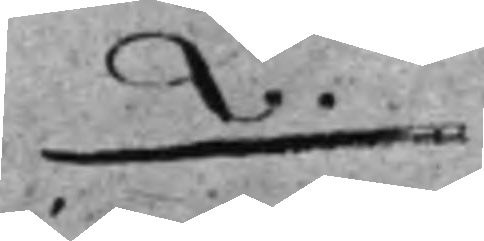Q.
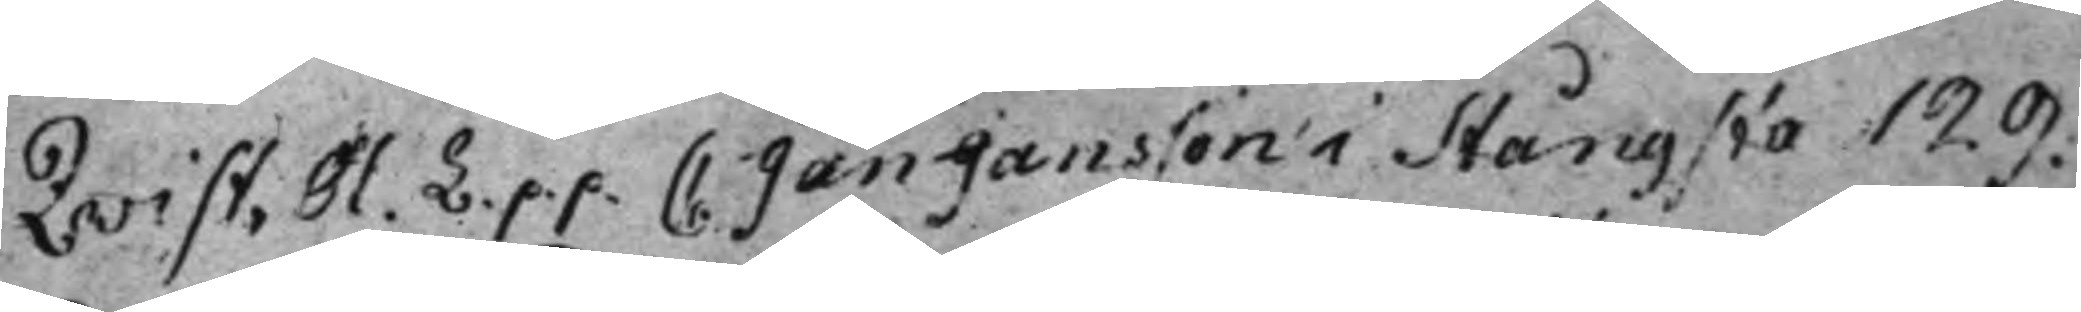Qvist, Ol. L. p.p. C: Jan Jansson i Stångsta 129.
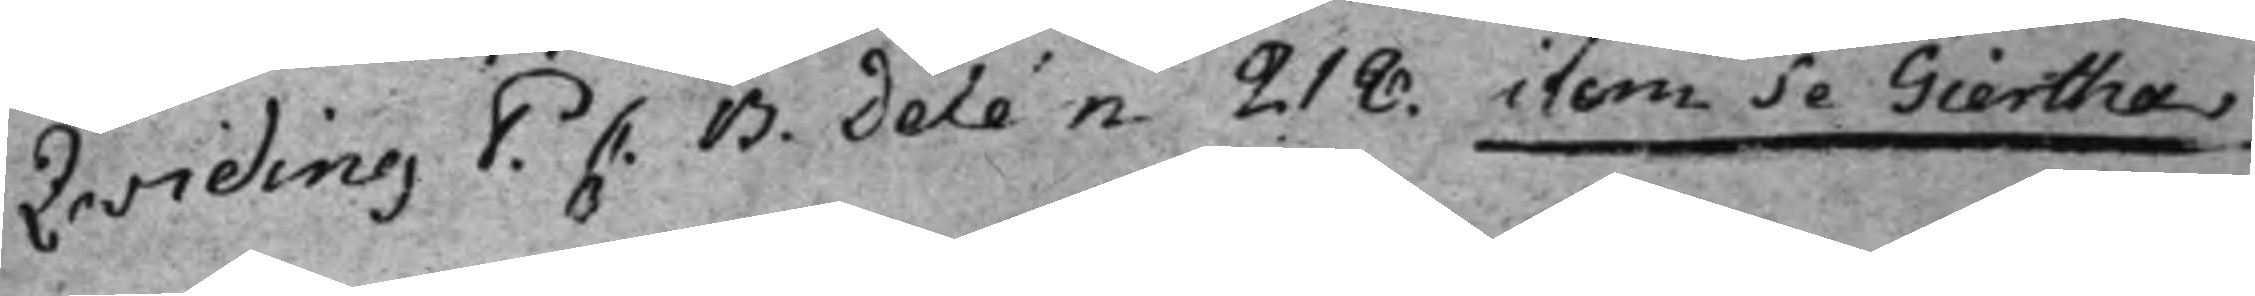Qwiding P. C. B. Delén 218. item Se Giertha
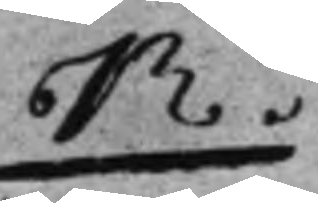R.
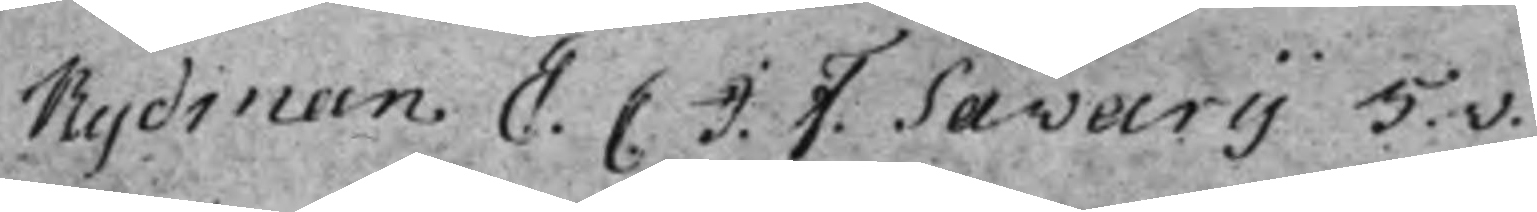Rydman E. C J. F. Savary 5.v.
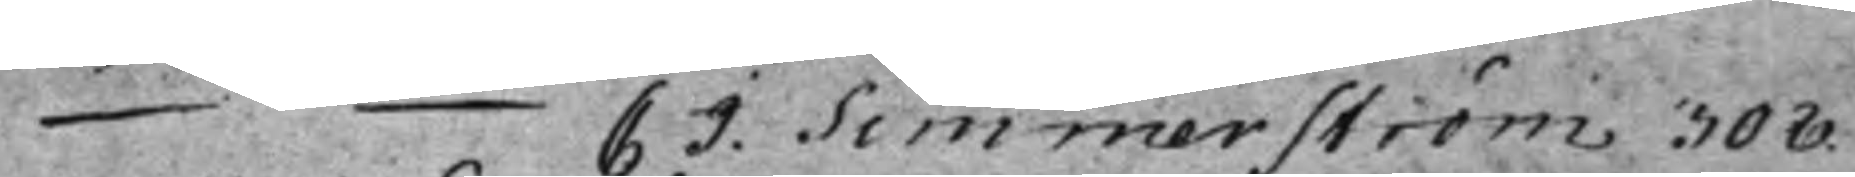— C. J. Simmerström 308.
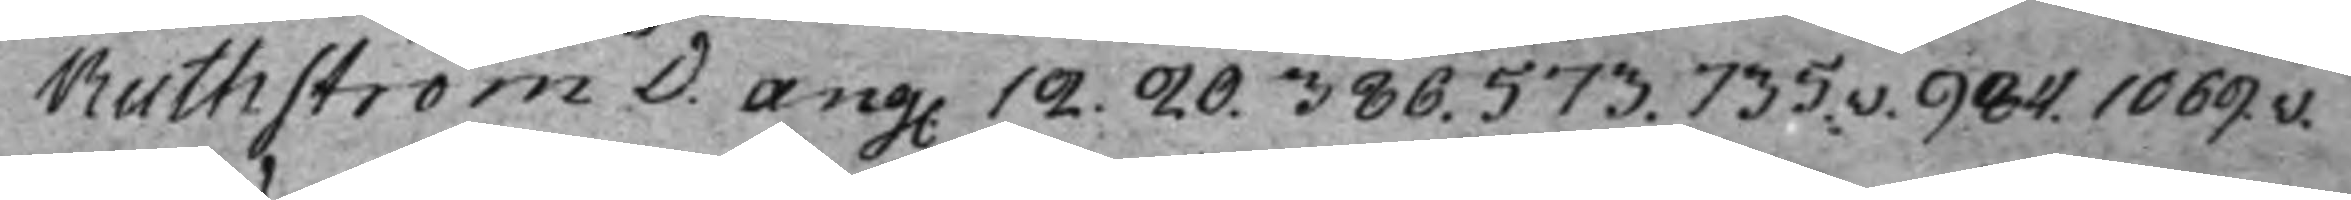Ruthström D. ang. 12. 20. 386. 573. 735.v. 984. 1069.v.
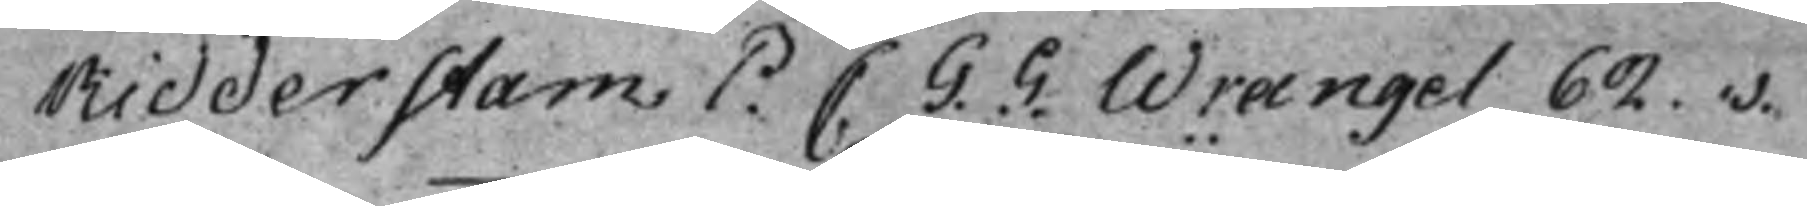Ridderstam P C. G. G. Wrangel 62.v.
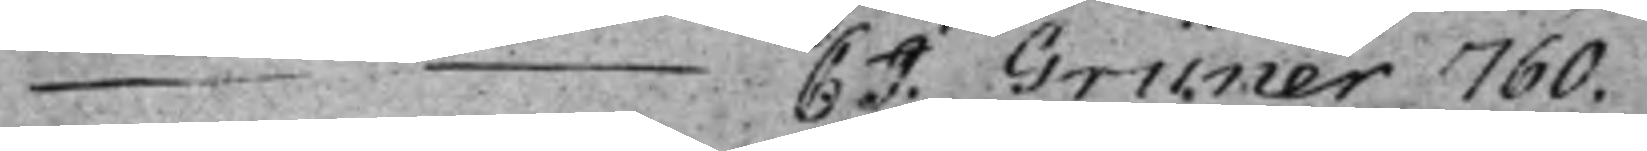— C. J. Grüner 760.
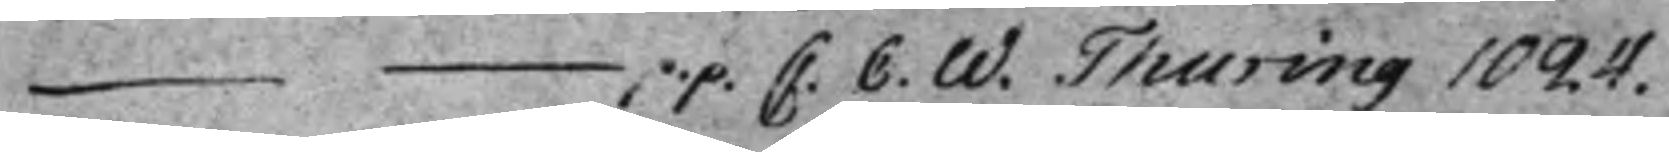— p.p. C. C. W. Thuring 1024.
